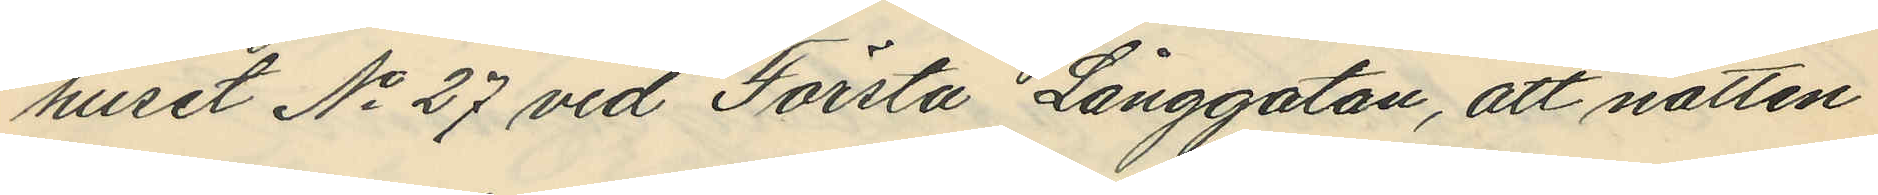huset No 27 vid Första Långgatan, att natten
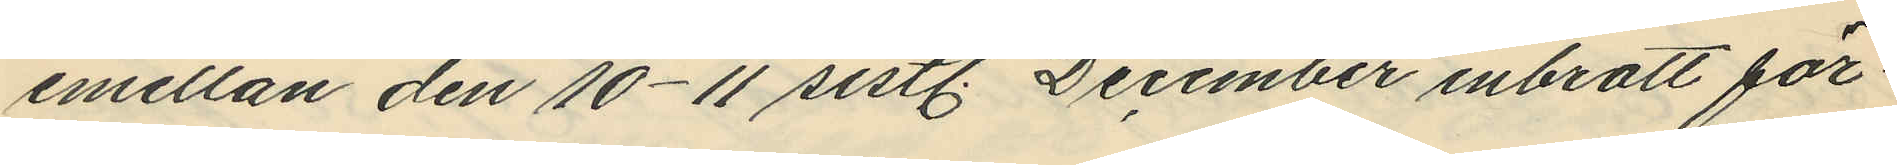emellan den 10-11 sistl. December inbrott för¬
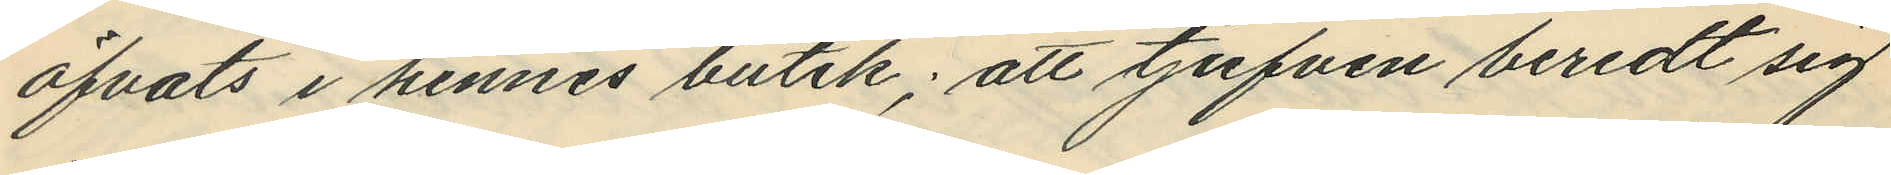öfvats i hennes butik; att tjufven beredt sig
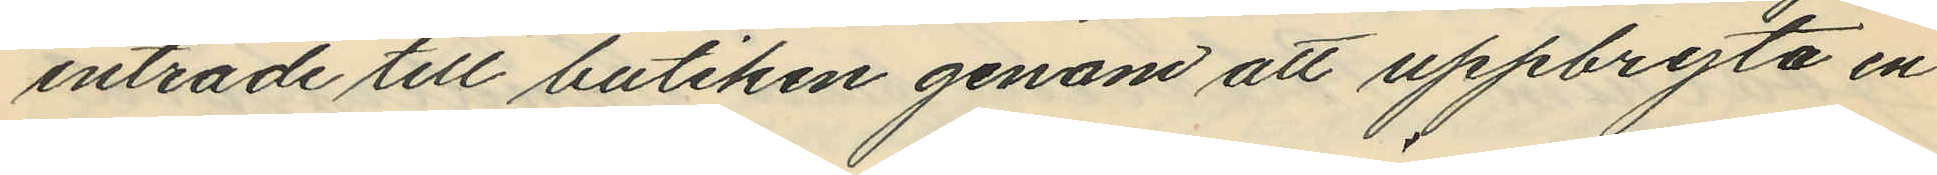inträde till butiken genom att uppbryta en
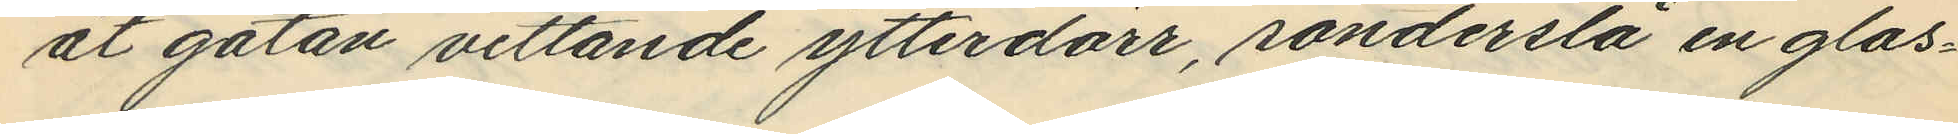åt gatan vettande ytterdörr, sönderslå en glas¬
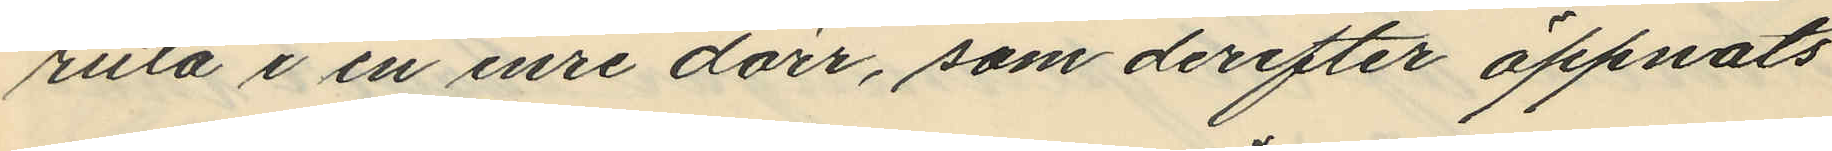ruta i en inre dörr, som derefter öppnats
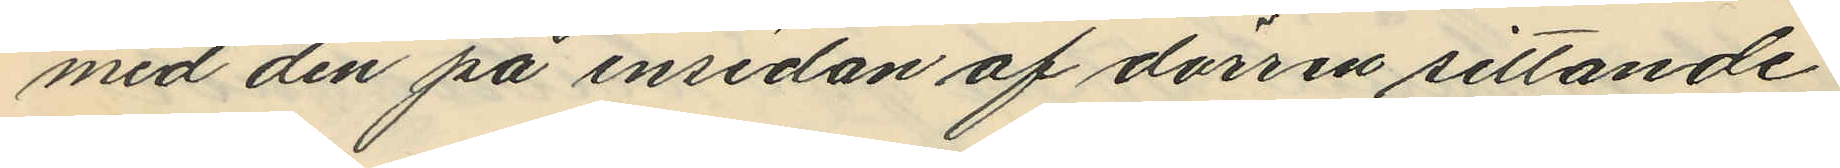med den på insidan af dörren sittande
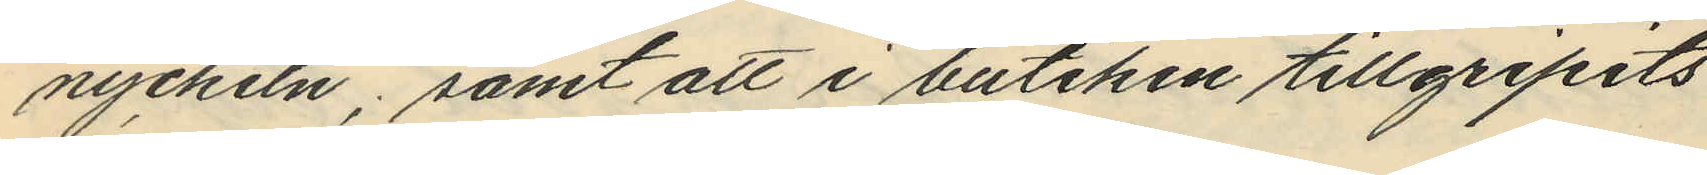nyckeln; samt att i butiken tillgripits
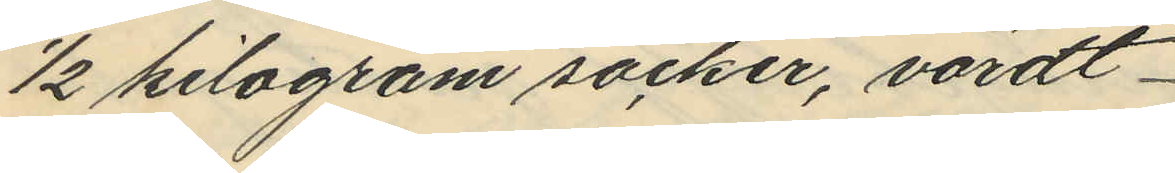1/2 kilogram socker, värdt
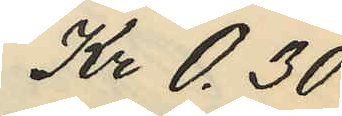Kr 0.30
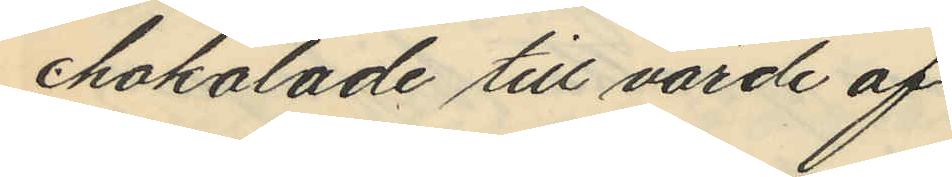chokolade till värde af
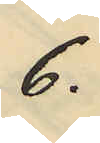6.
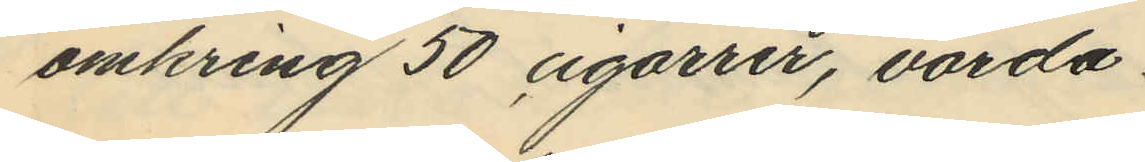omkring 50 cigarrer, värda
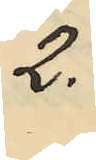2.
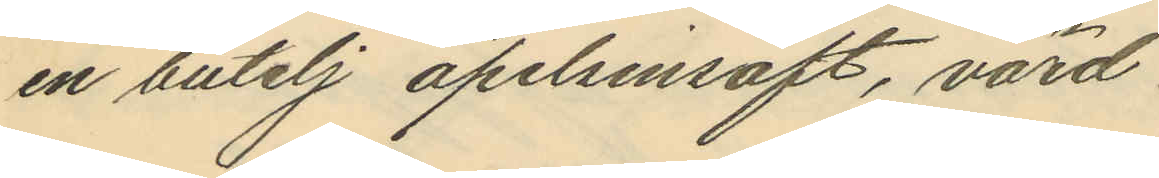en butelj apelsinsaft, värd
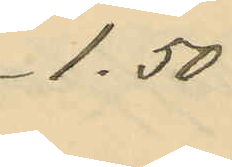1.50
